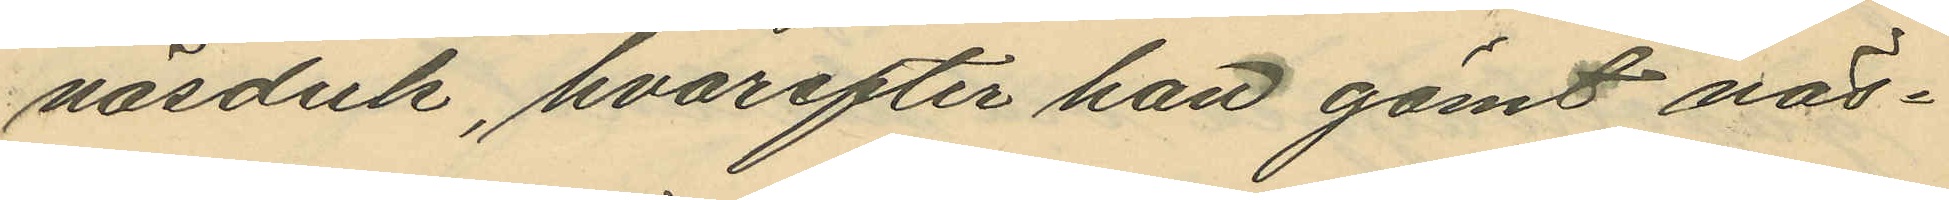näsduk, hvarefter han gömt näs¬
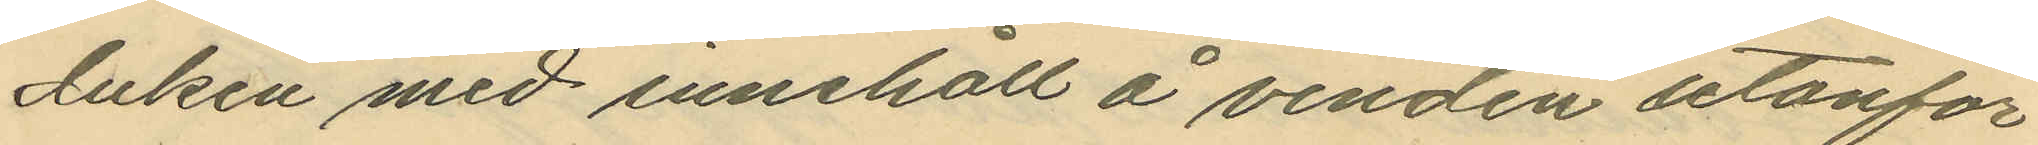duken med innehåll å vinden utanför
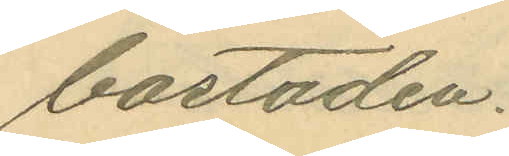bostaden.
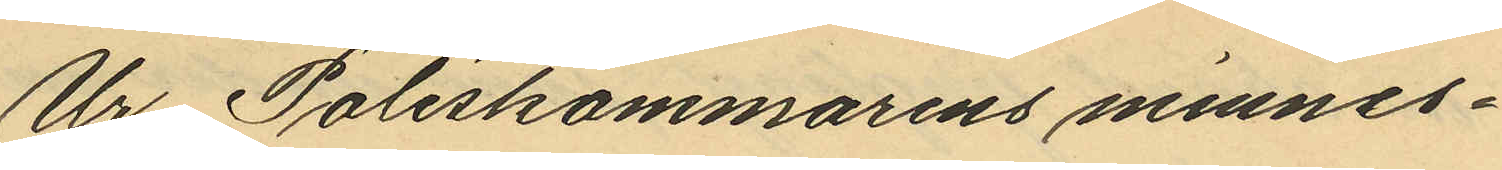Ur Poliskammarens minnes¬
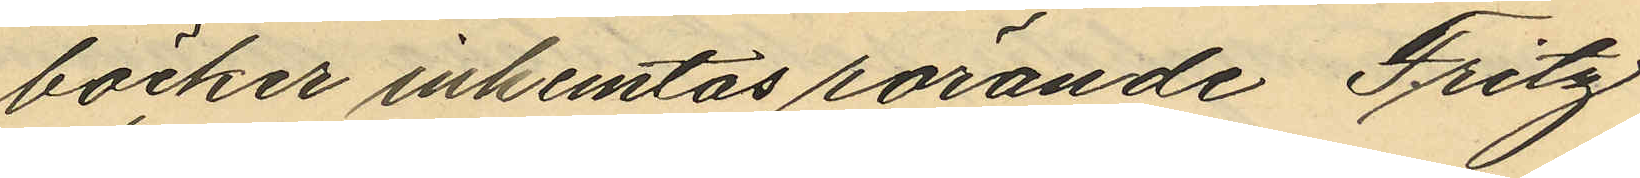böcker inhemtas rörande Fritz
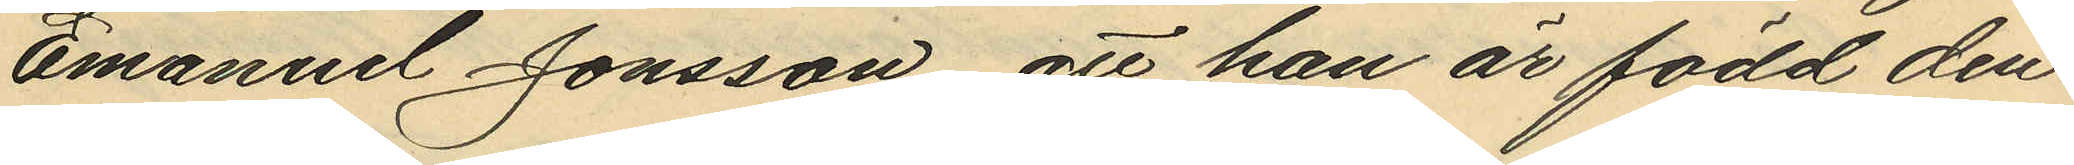Emanuel Jonsson, att han är född den
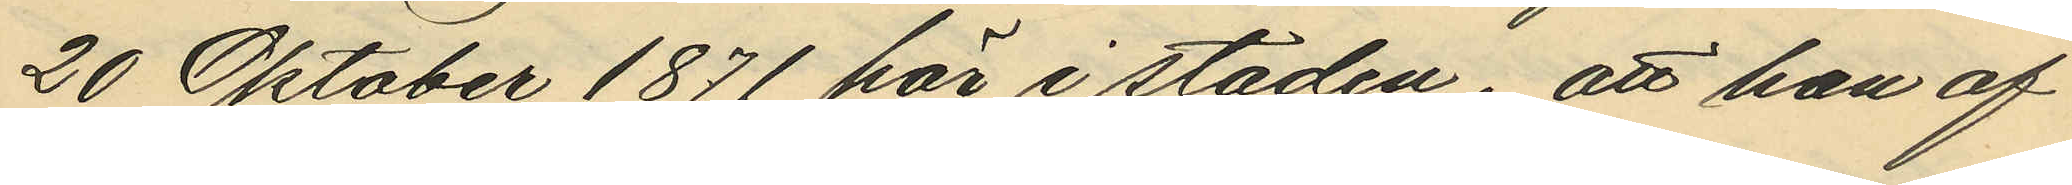20 Oktober 1871 här i staden, att han af
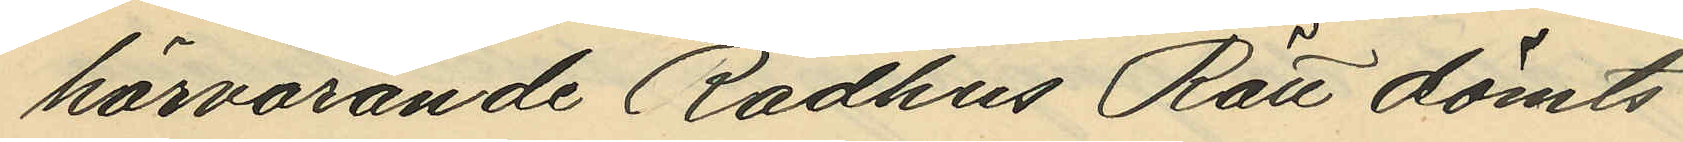härvarande Rådhus Rätt dömts
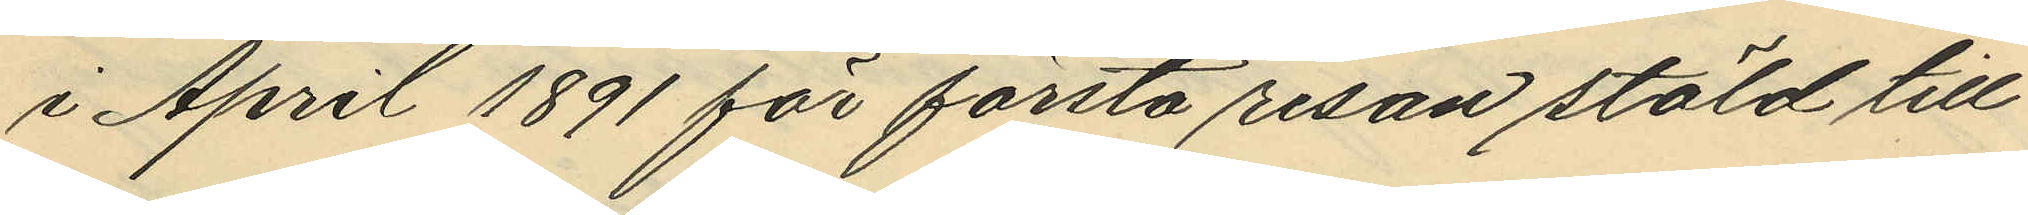i April 1891 för första resan stöld till
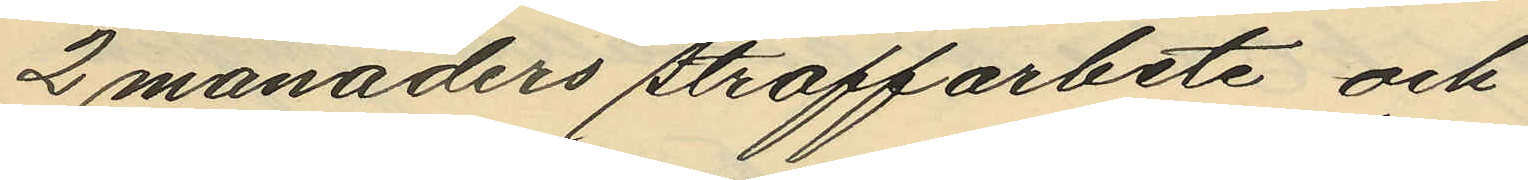2 månaders straffarbete och
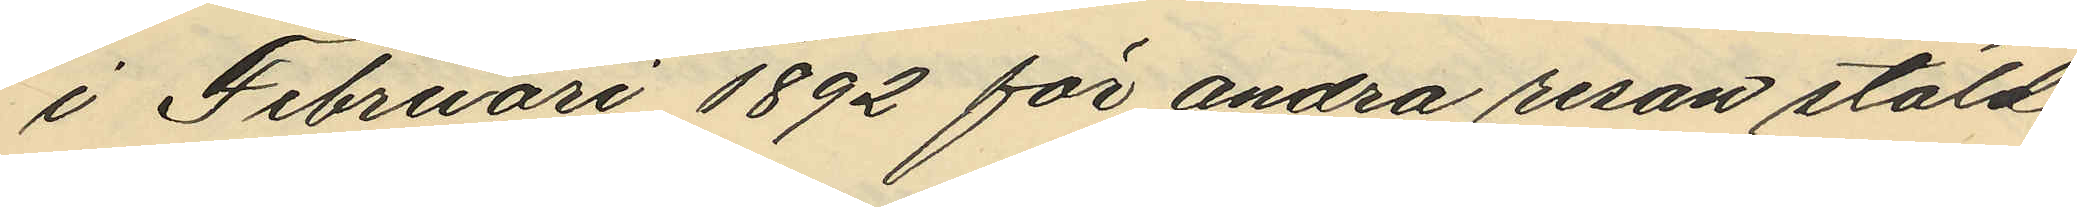i Februari 1892 för andra resan stöld
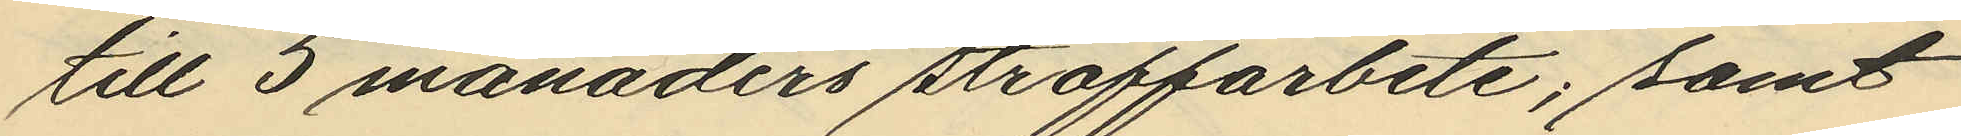till 5 månaders straffarbete; samt
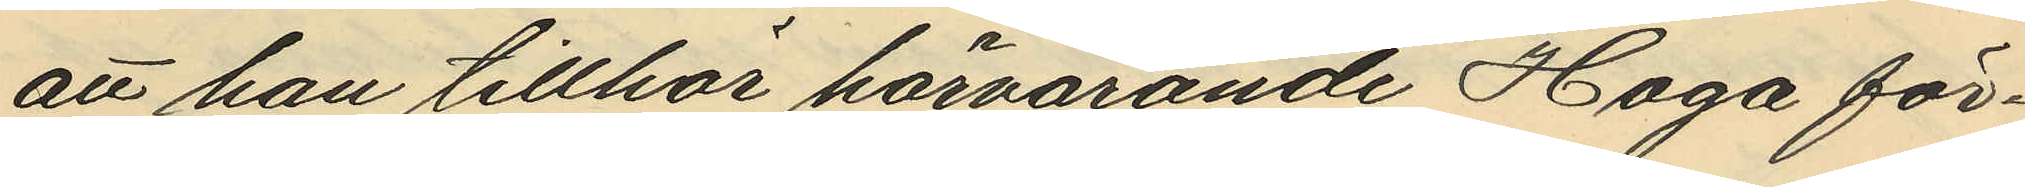att han tillhör härvarande Haga för¬
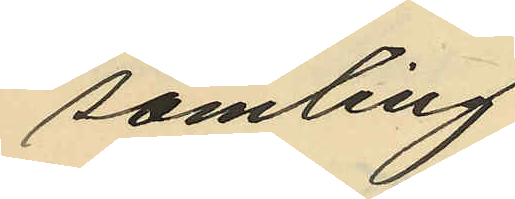samling.
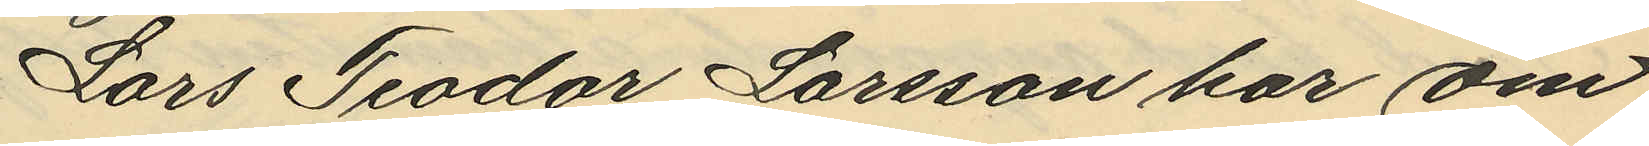Lars Teodor Larsson har om
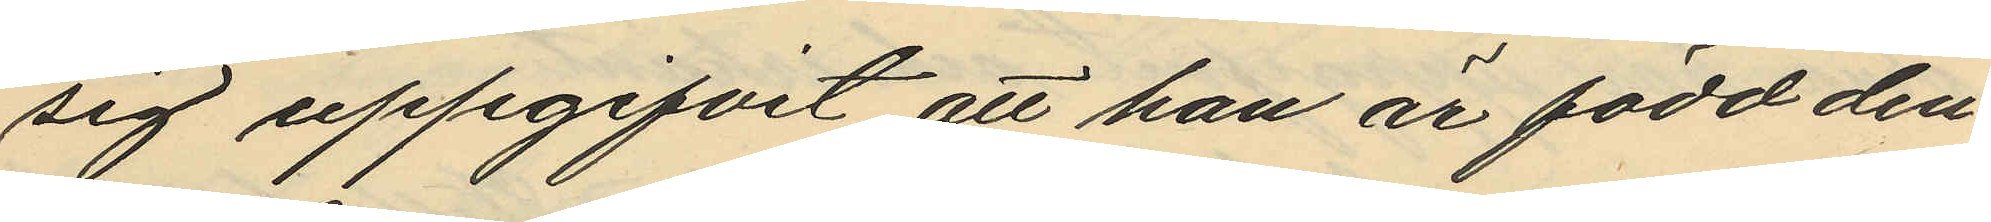sig uppgifvit att han är född den
